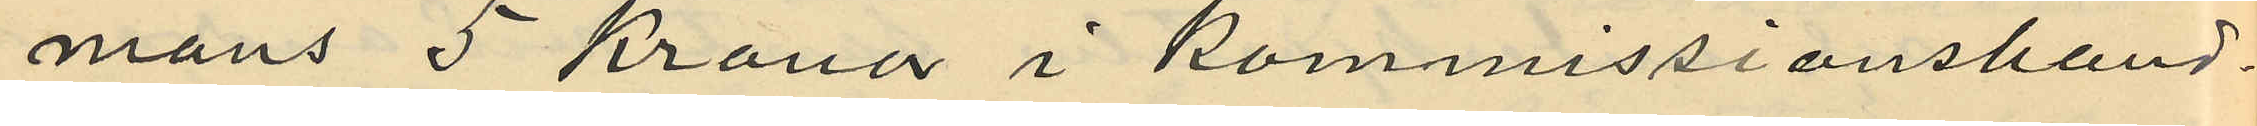mans 5 Kronor i Kommissionshand¬
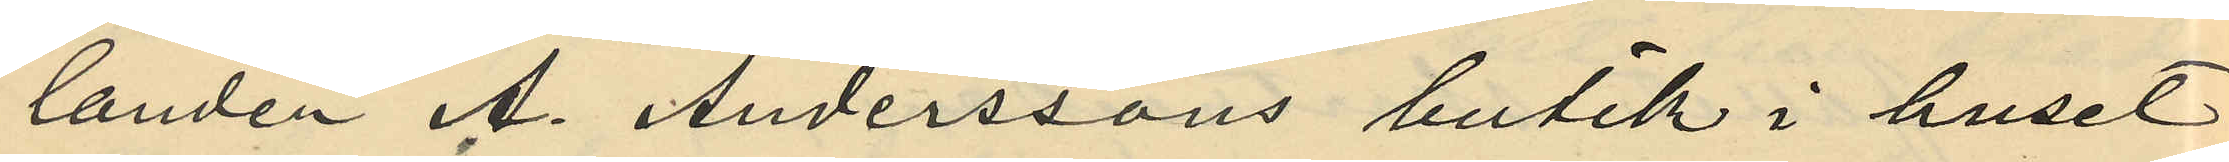landen A. Anderssons butik i huset
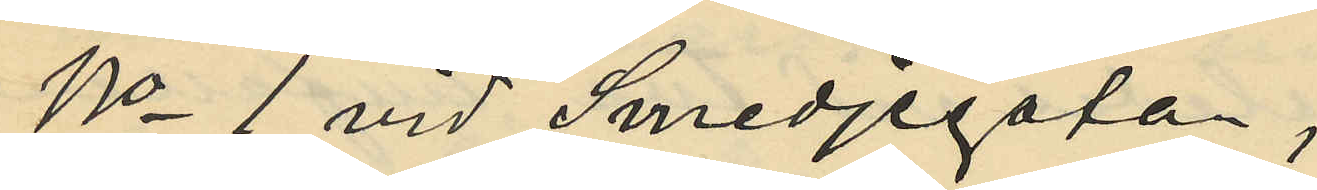No 1 vid Smedjegatan;
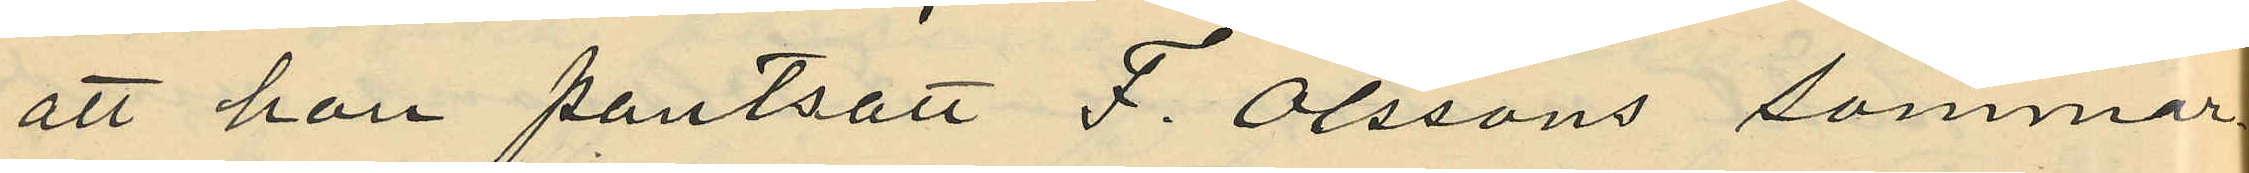att hon pantsatt F. Olssons sommar¬
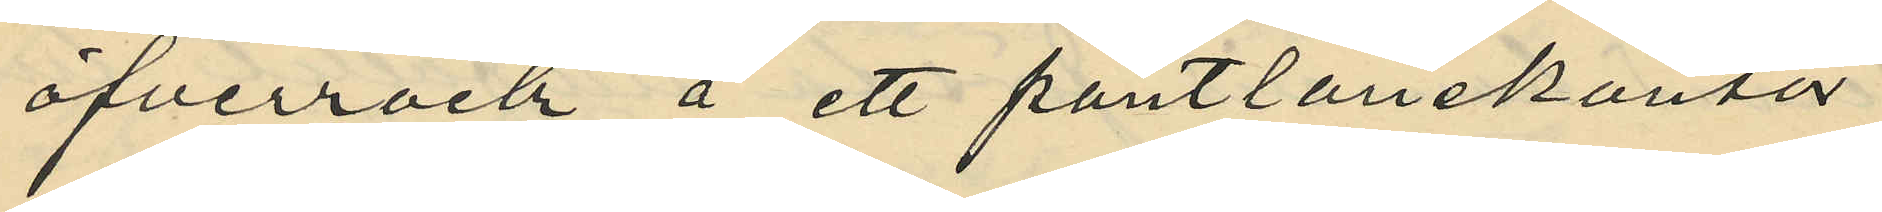öfverrock å ett pantlånekontor
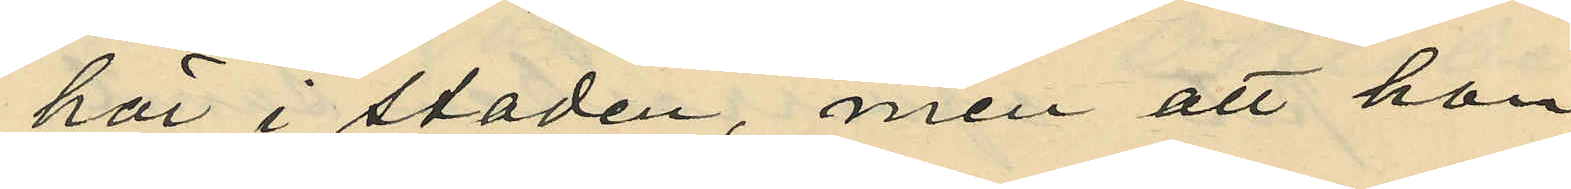här i staden, men att hon
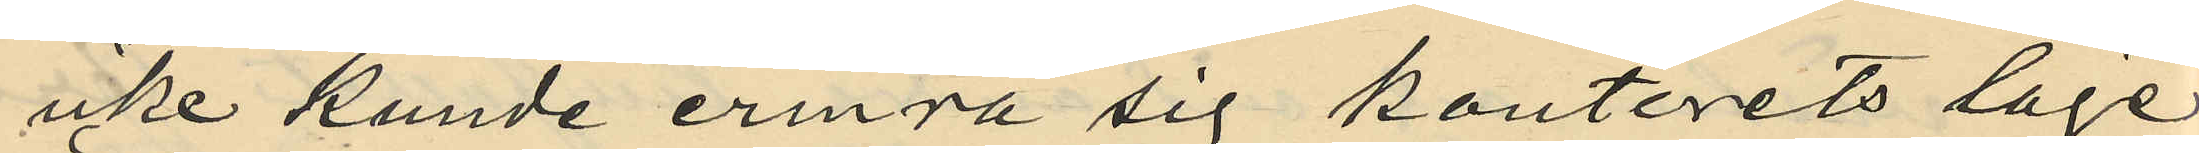icke kunde erinra sig kontorets läge
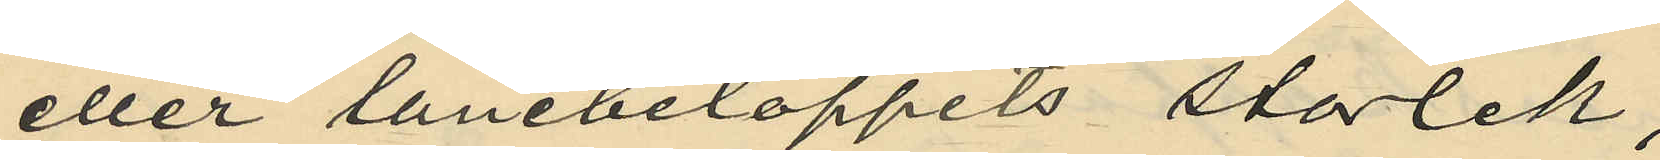eller lånebeloppets storlek;
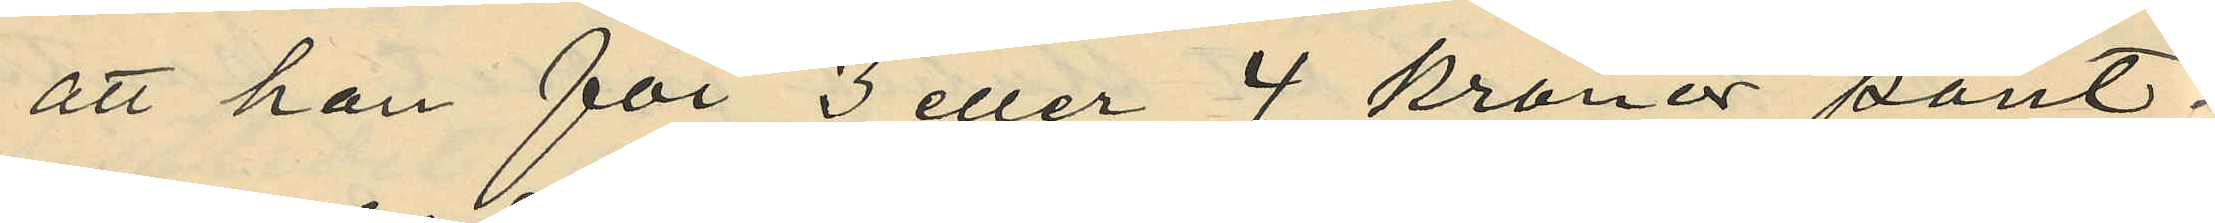att han för 3 eller 4 kronor pant¬
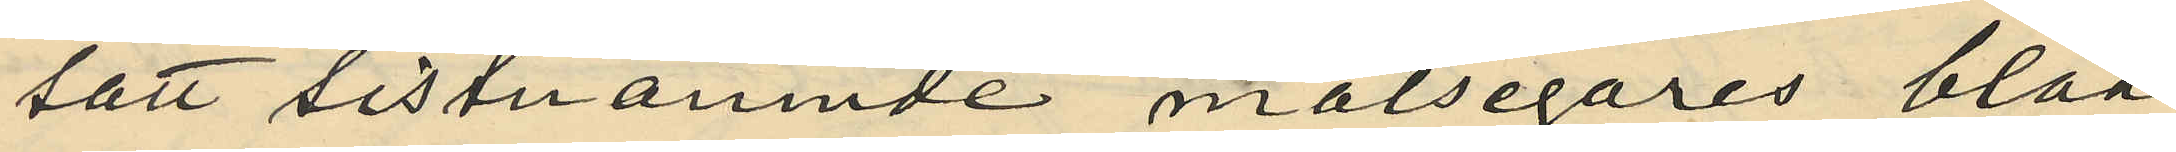satt sistnämnde målsegares blåa
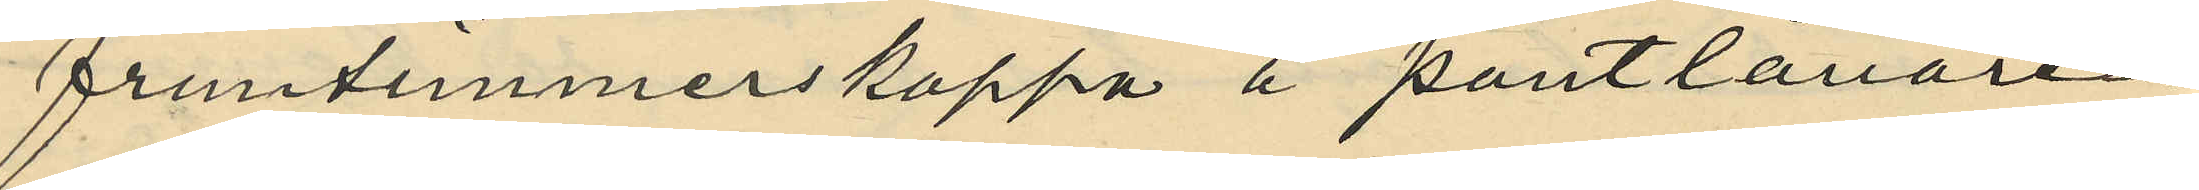fruntimmerskappa å pantlånaren
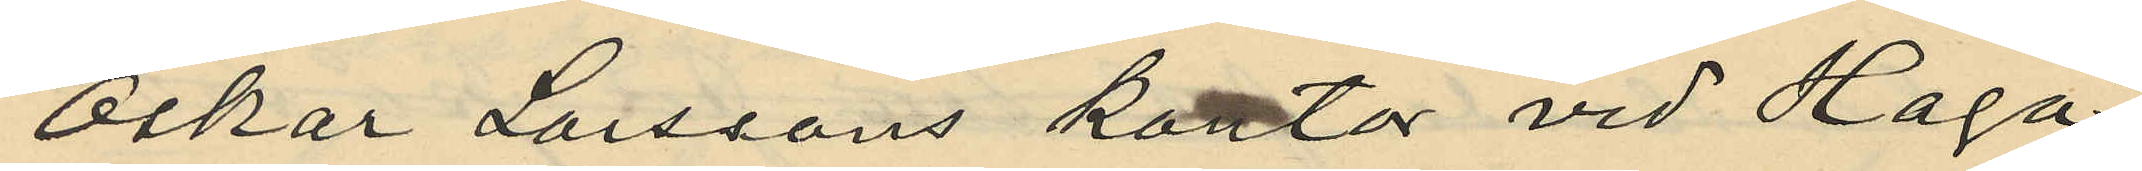Oskar Larssons kontor vid Haga
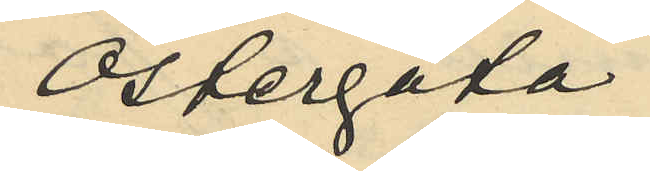Östergata;
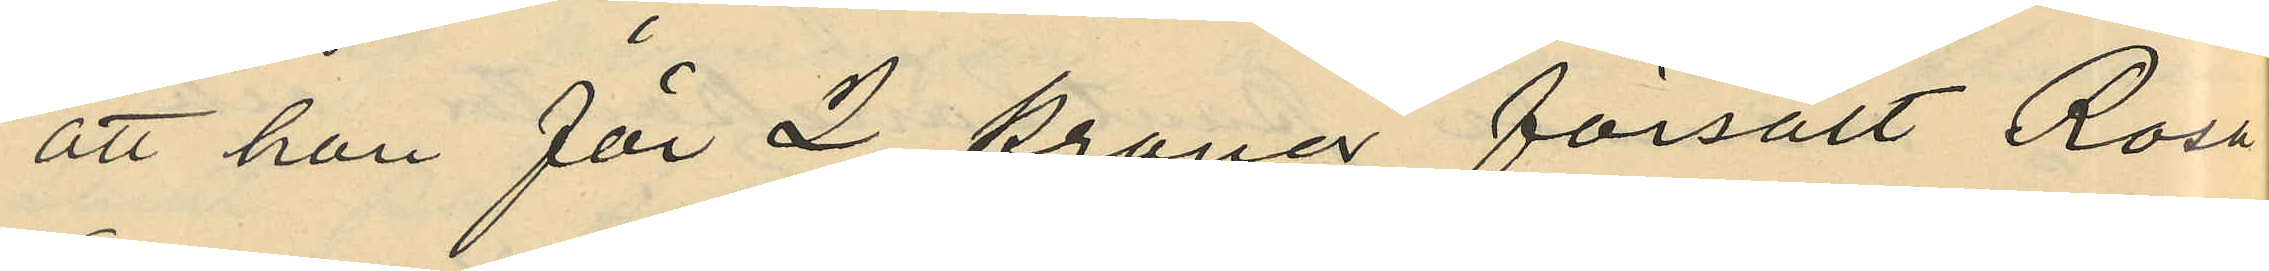att han för 2 kronor försålt Rosa
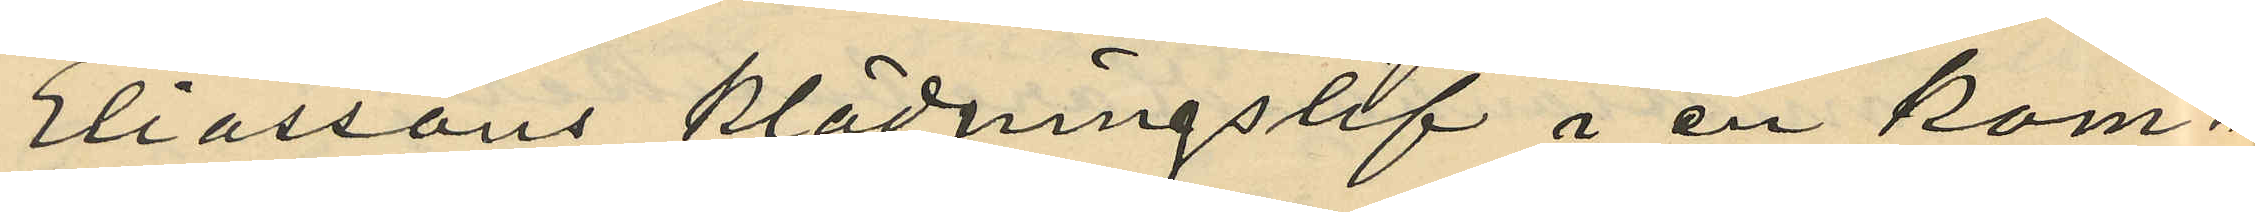Eliassons klädningslif i en kom¬
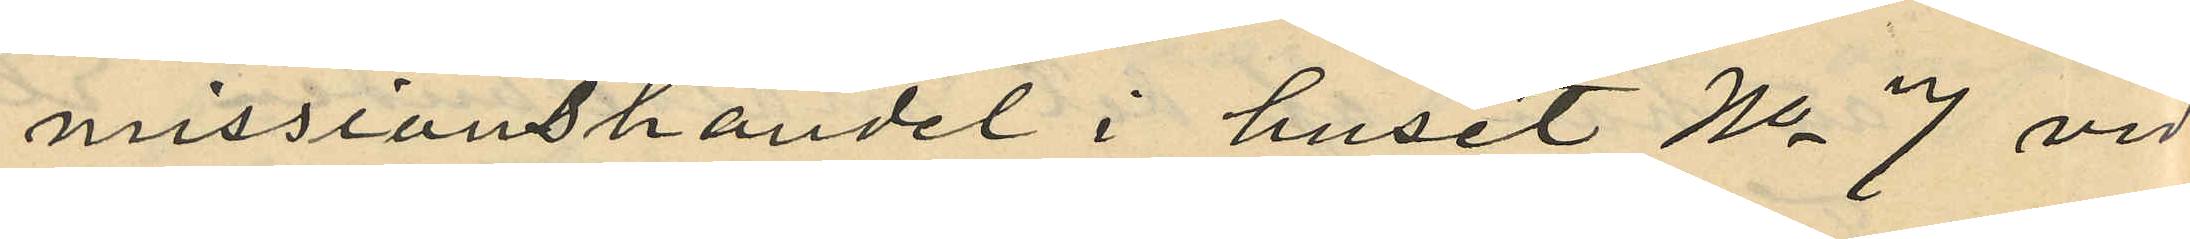missionshandel i huset No 7 vid
